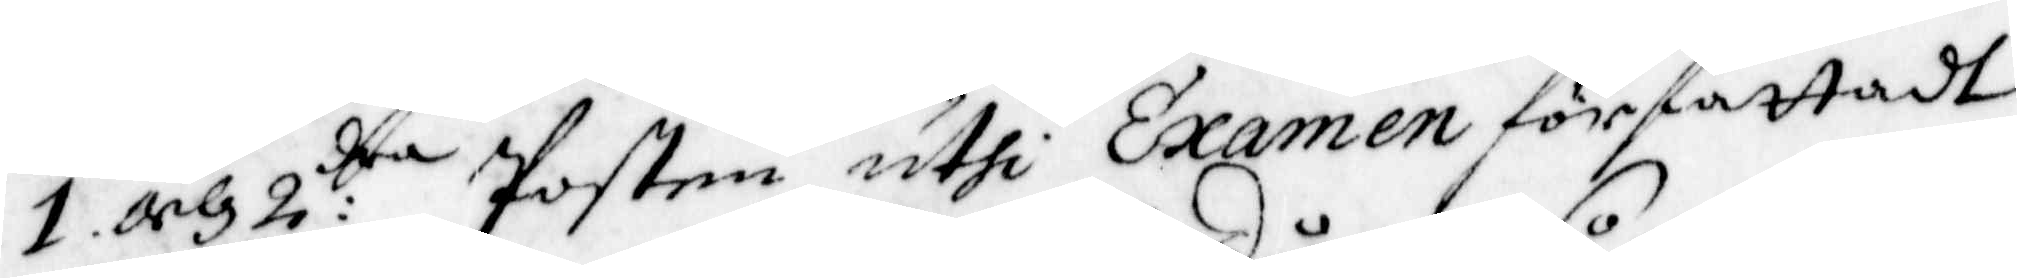1 och 2:dra Posten uthi Examen författadt
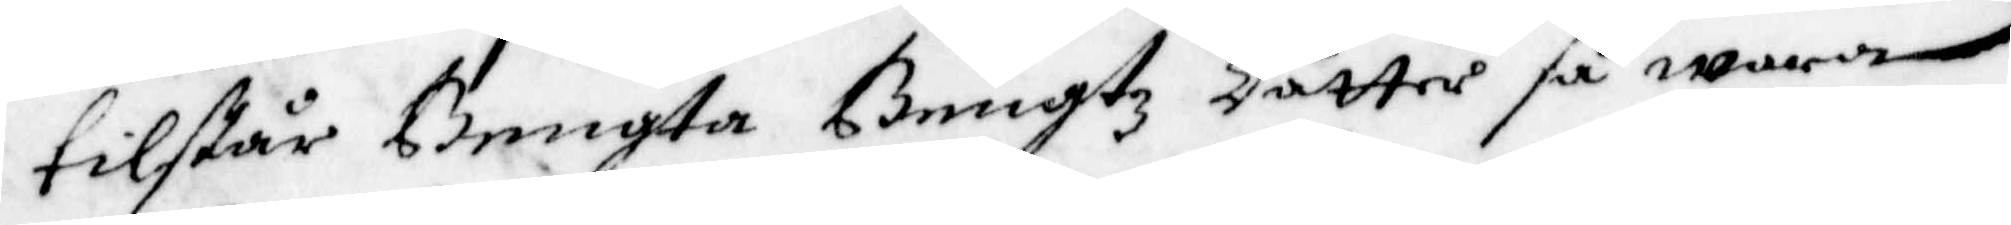tilstår Bengta Bengtz dotter så wara
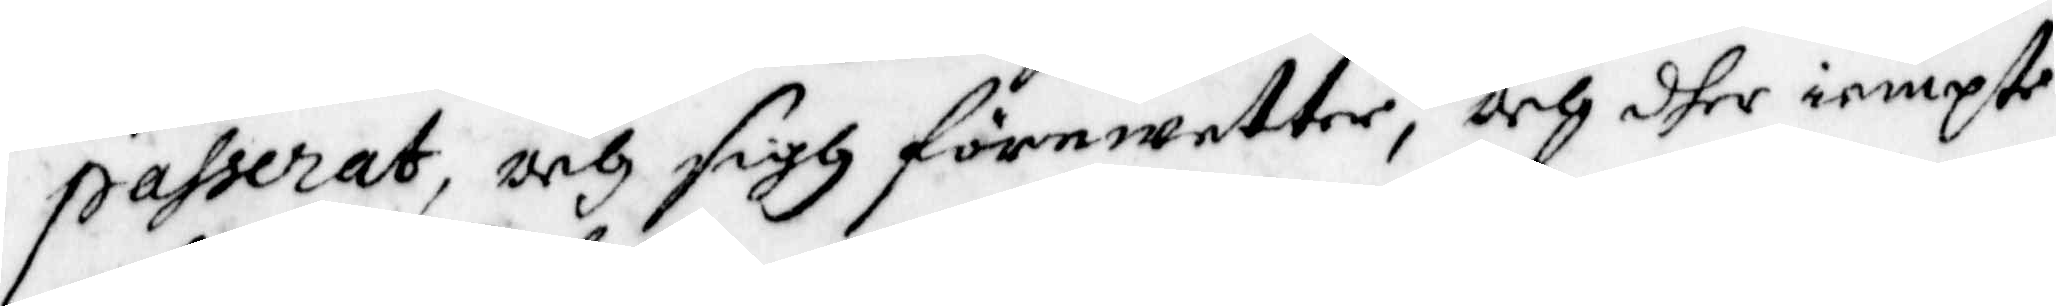passerat, och sigh förewetter, och dher iempte
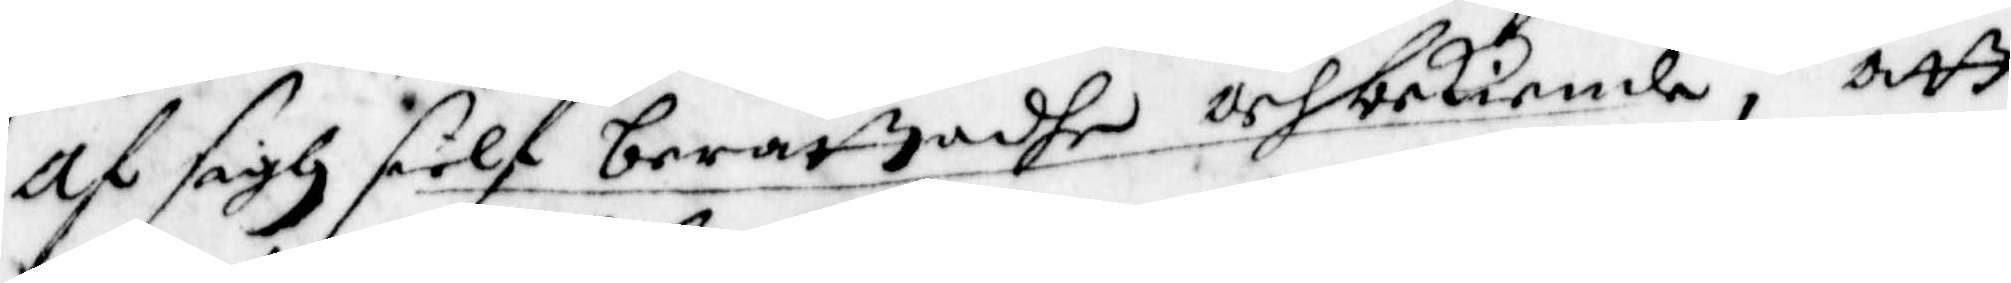af sigh sielf berättadhe och bekiende, att
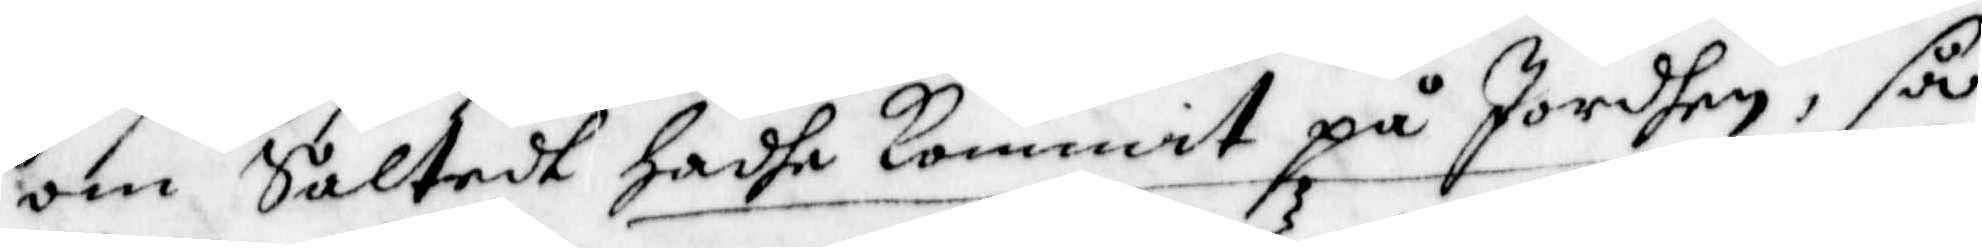om Saltedt hadhe kommit på Jordhen, så
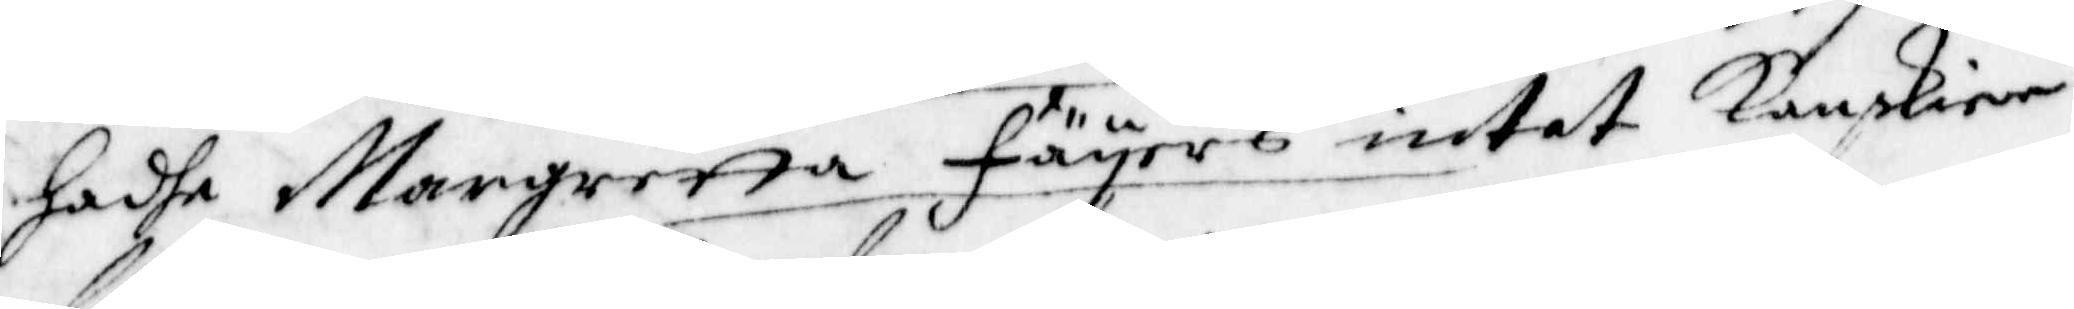hadhe Margretta Fäyers intet kanskier
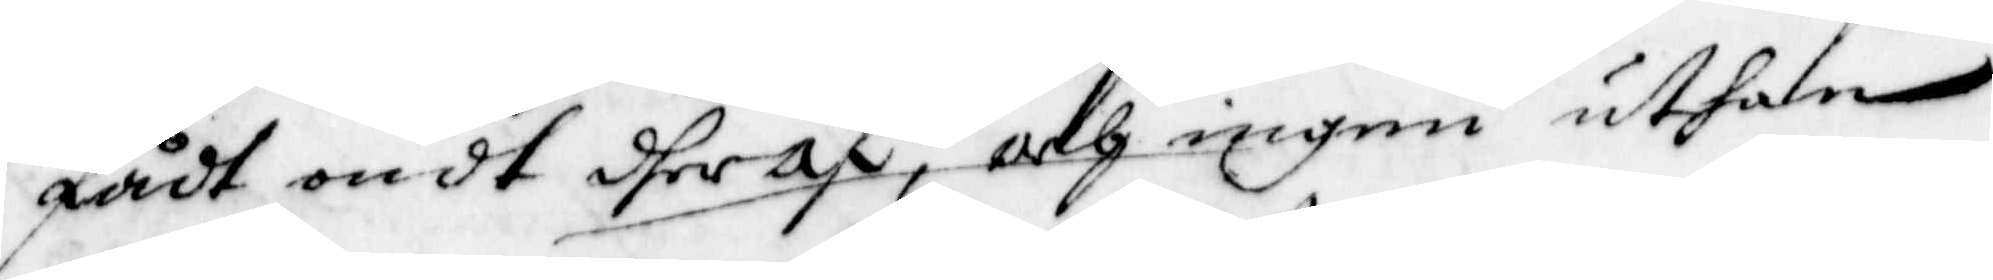fådt ondt dheraf, och ingen uthan
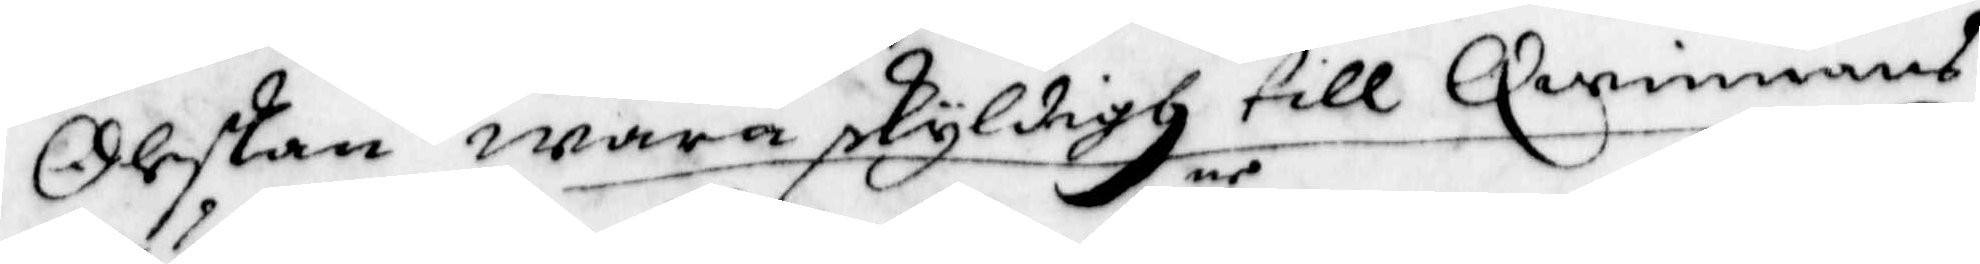Oleskan wara skyldigh till Qwinnans
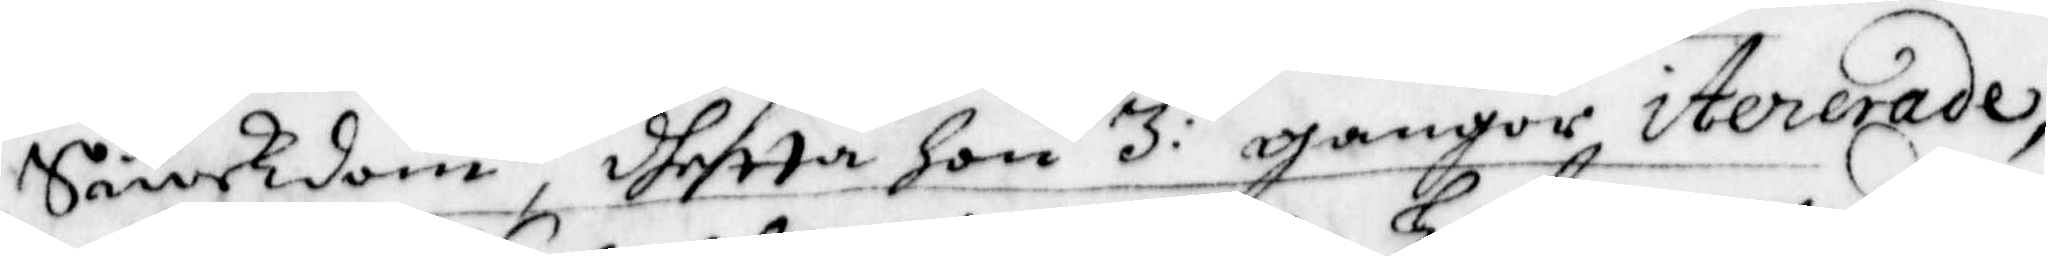Siukdom dhetta hon 3:ne gangor itererade,
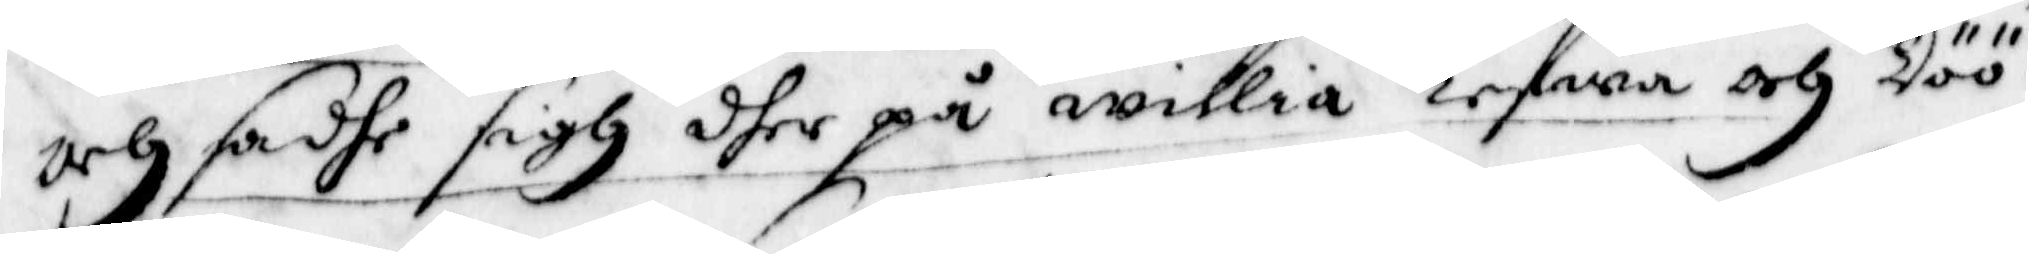och sadhe sigh dher på willia Lefwa och Döö.
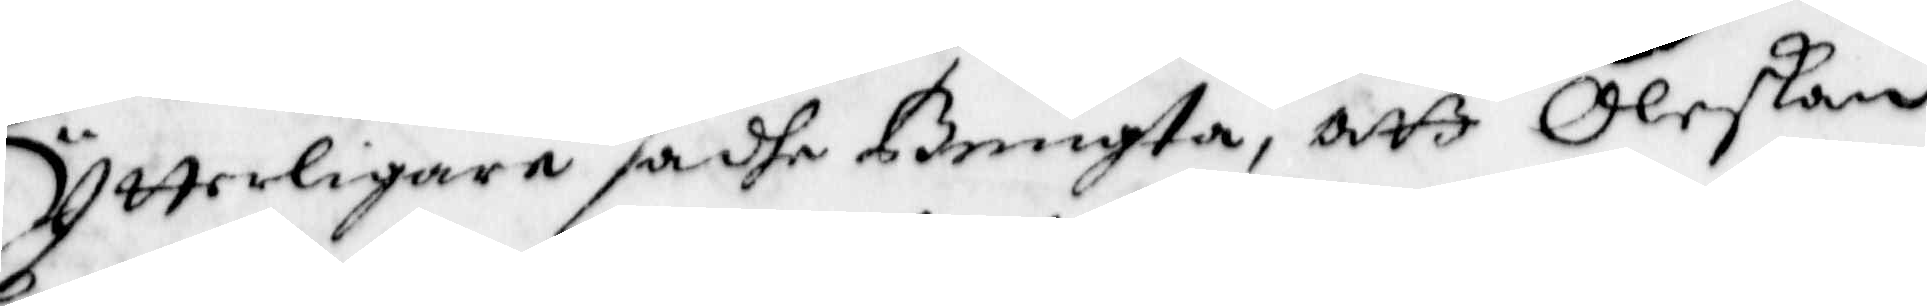Ytterligare sadhe Bengta, att Oleskan
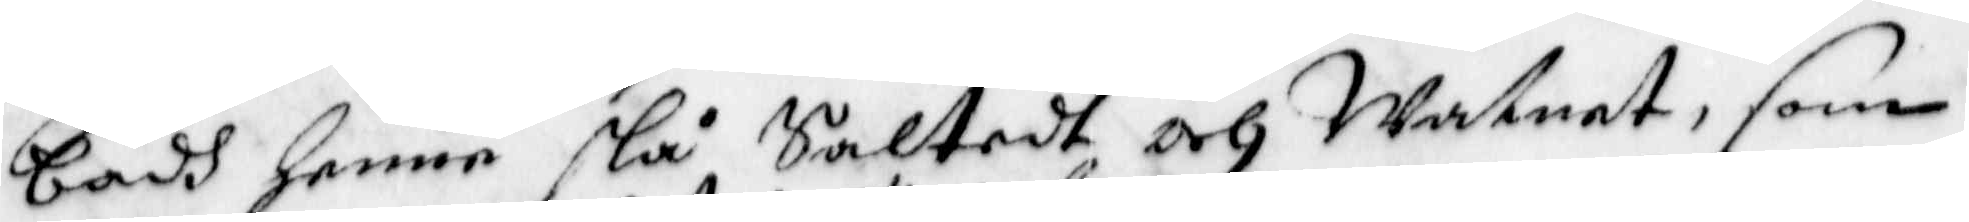badh henne slå Saltedt och Watnet, som
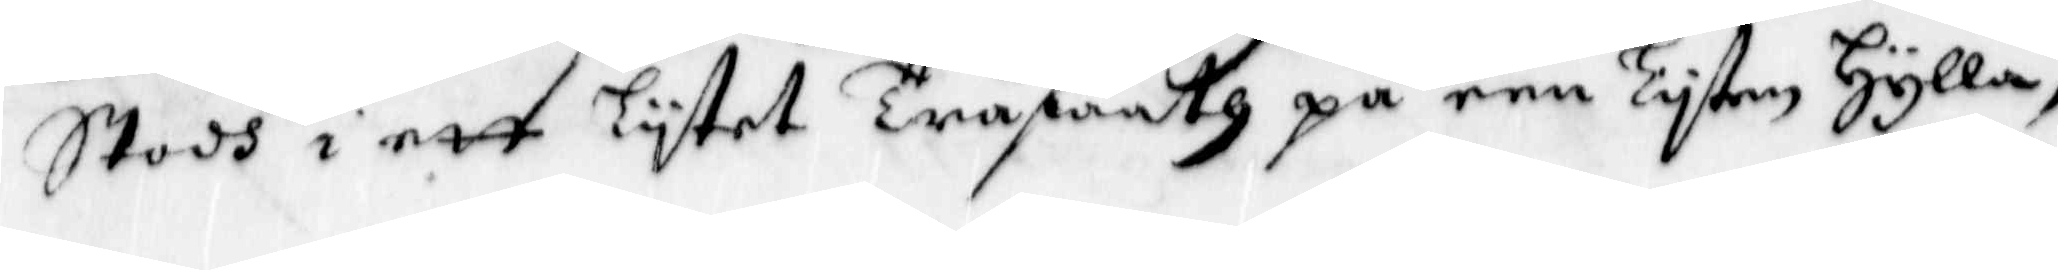stodh i ett Lytet Träffaath på een Lyten Hylla,
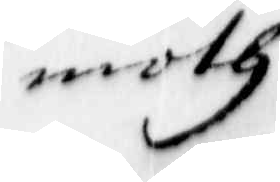moth
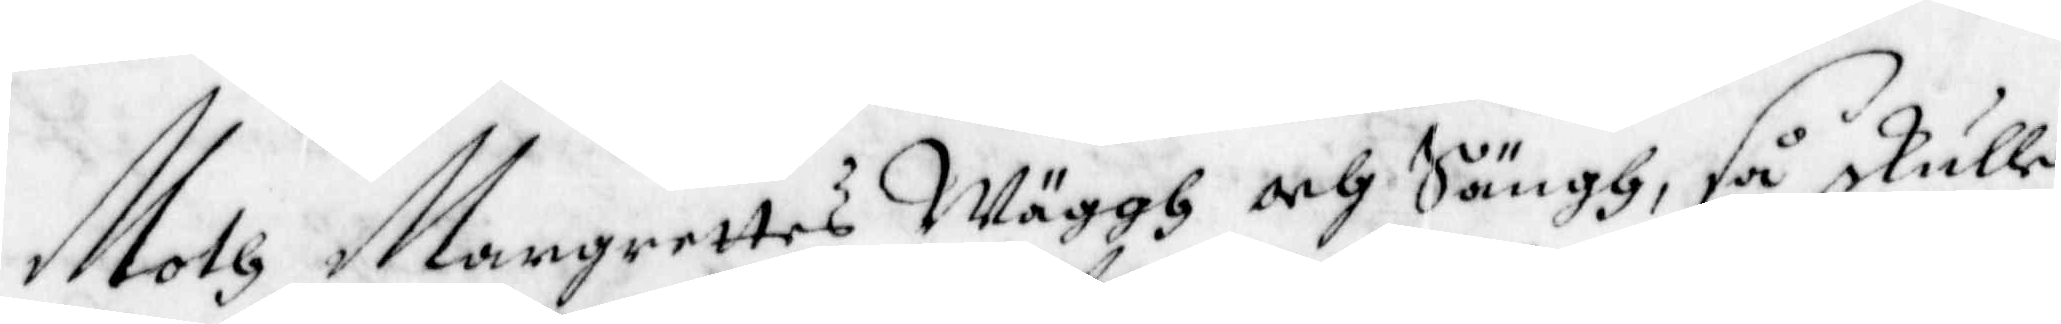Moth Margrettes Wäggh och Sängh, så skulle
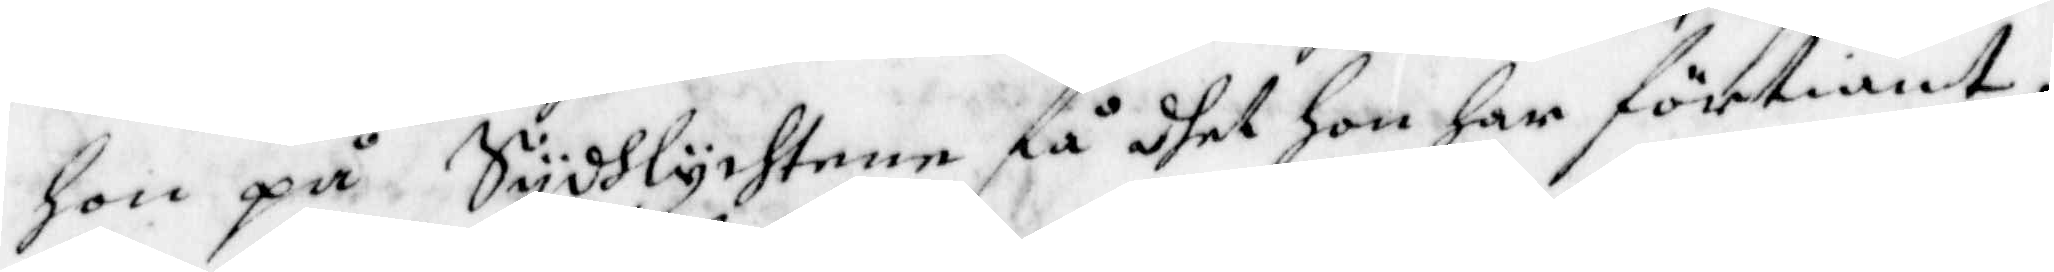hon på Sydhlychtene få dhet Hon har förtiänt,
